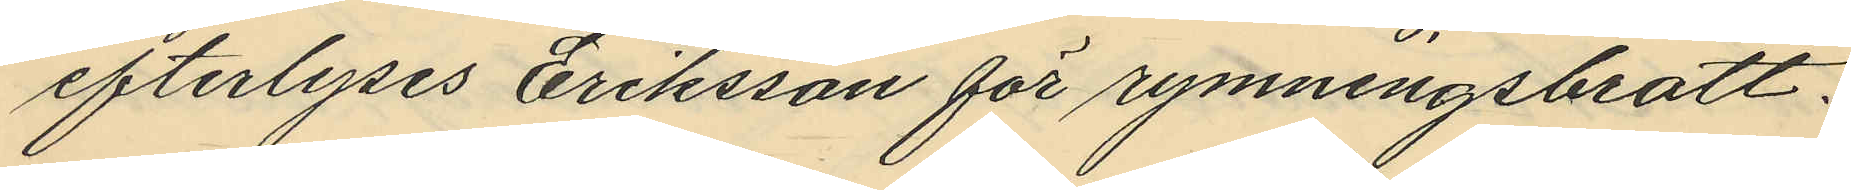efterlyses Eriksson för rymningsbrott.
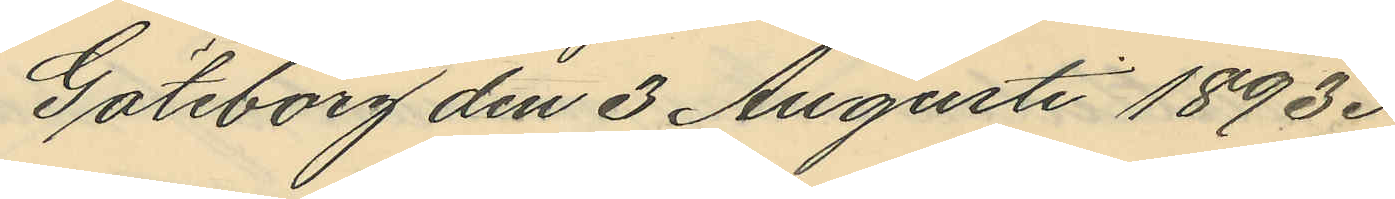Göteborg den 3 Augusti 1893.
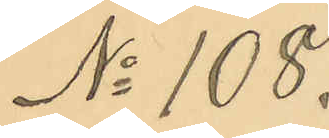No 108.
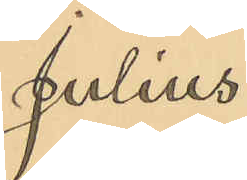Julius
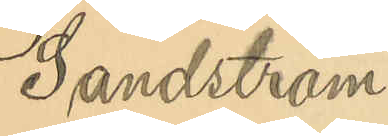Sandström.
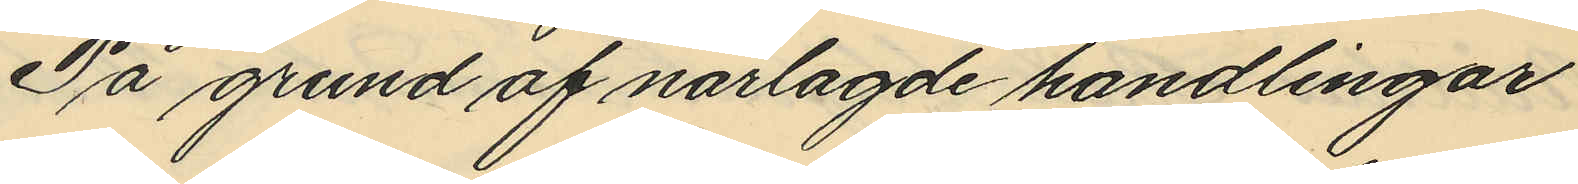På grund af närlagde handlingar
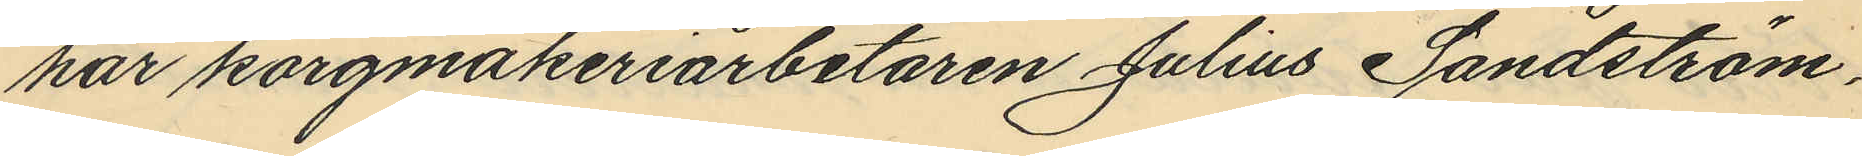har korgmakeriarbetaren Julius Sandström,
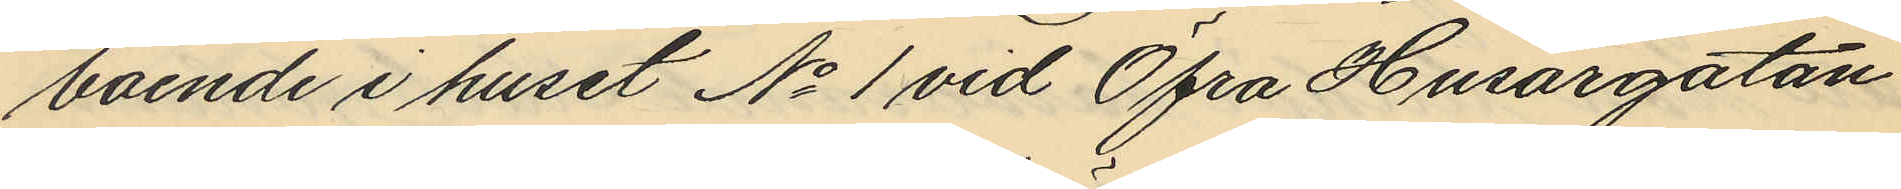boende i huset No 1 vid Öfra Husargatan
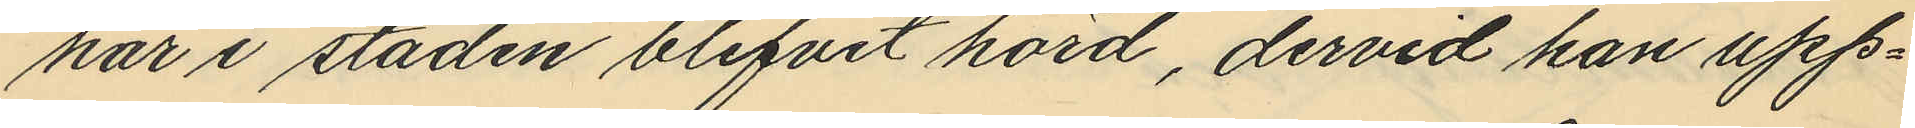här i staden blifvit hörd, dervid han upp¬
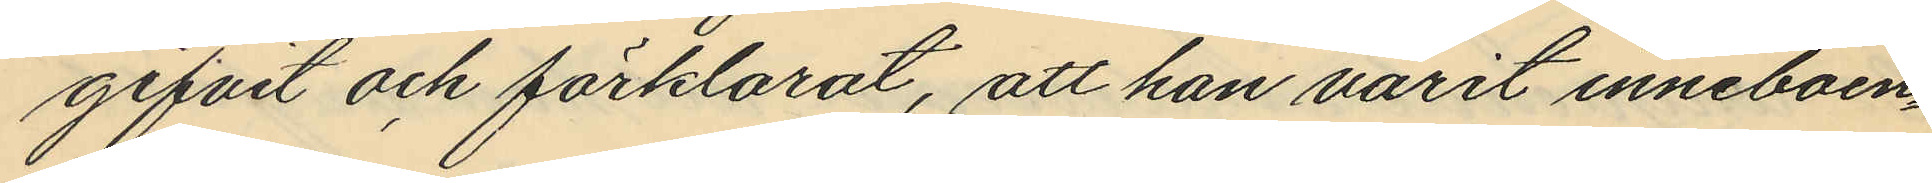gifvit och förklarat, att han varit inneboen¬
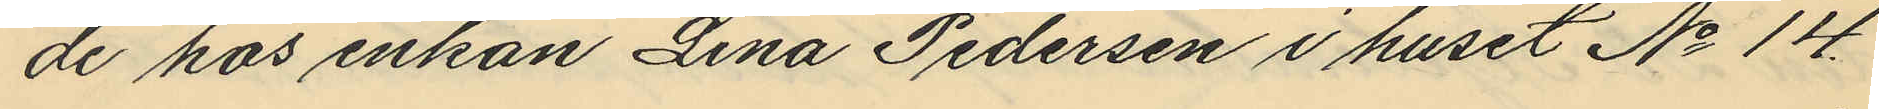de hos enkan Lina Pedersen i huset No 14
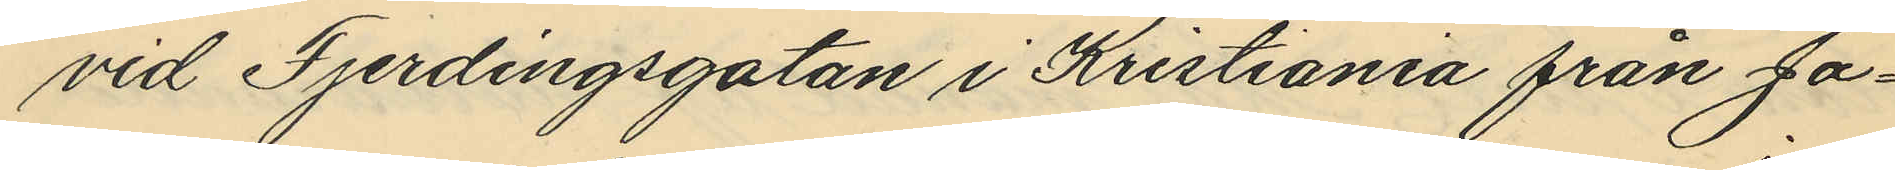vid Fjerdingsgatan i Kristiania från Ja¬
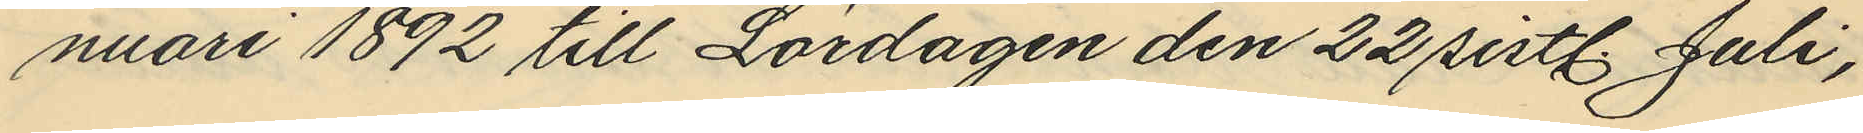nuari 1892 till Lördagen den 22 sistl. Juli,
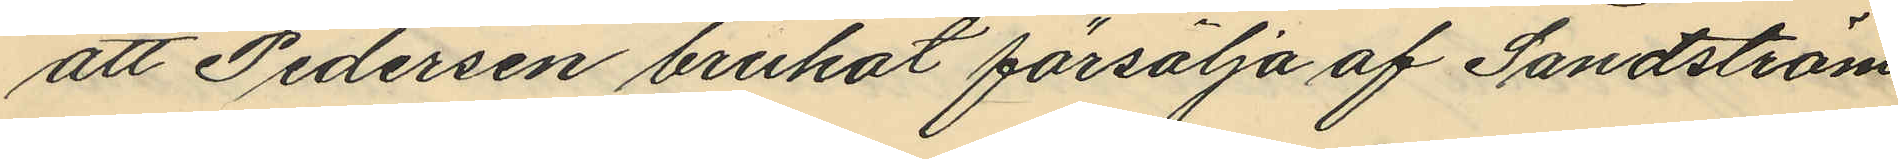att Pedersen brukat försälja af Sandström
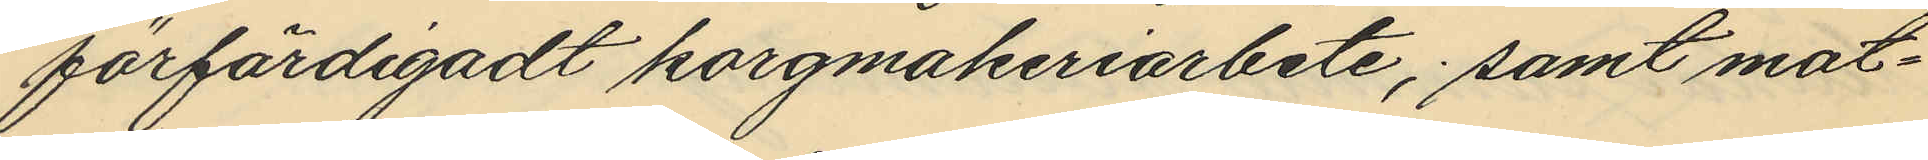förfärdigadt korgmakeriarbete; samt mot¬
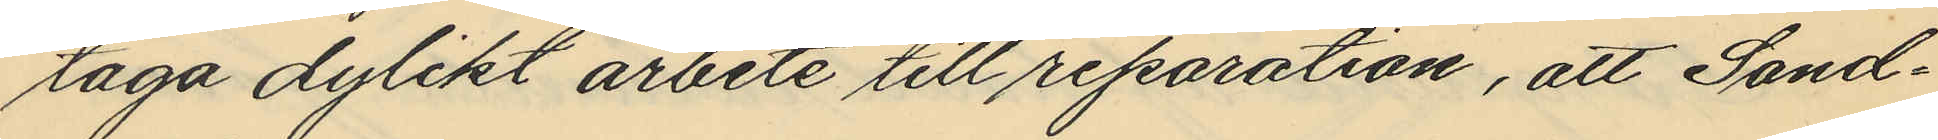taga dylikt arbete till reparation, att Sand¬
